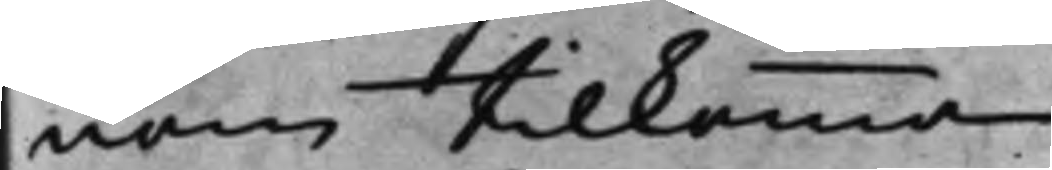nom tillkomma.
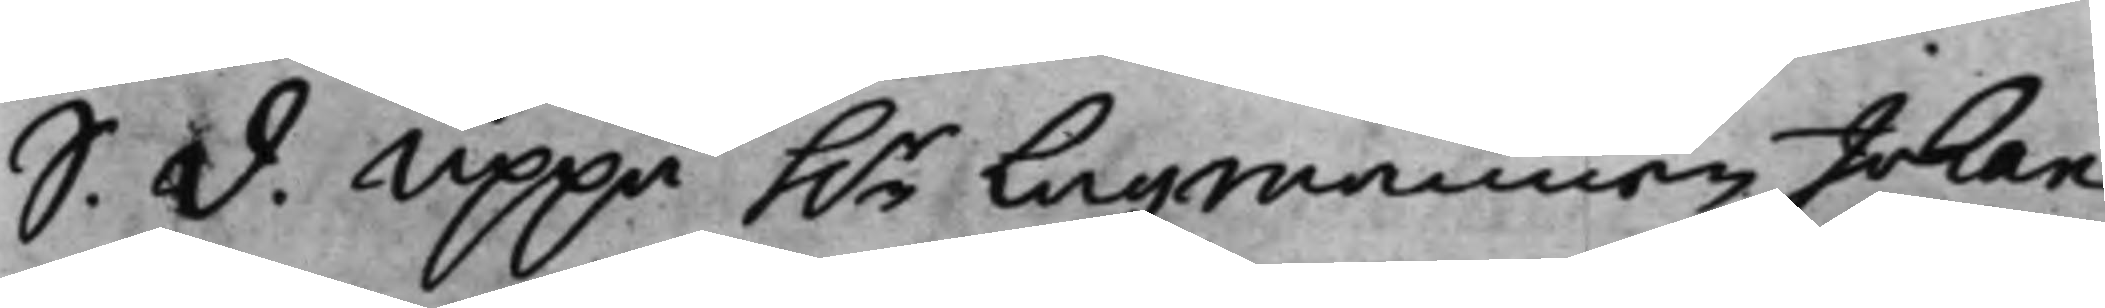S. d. Uppå h.r Lagmannen Johan
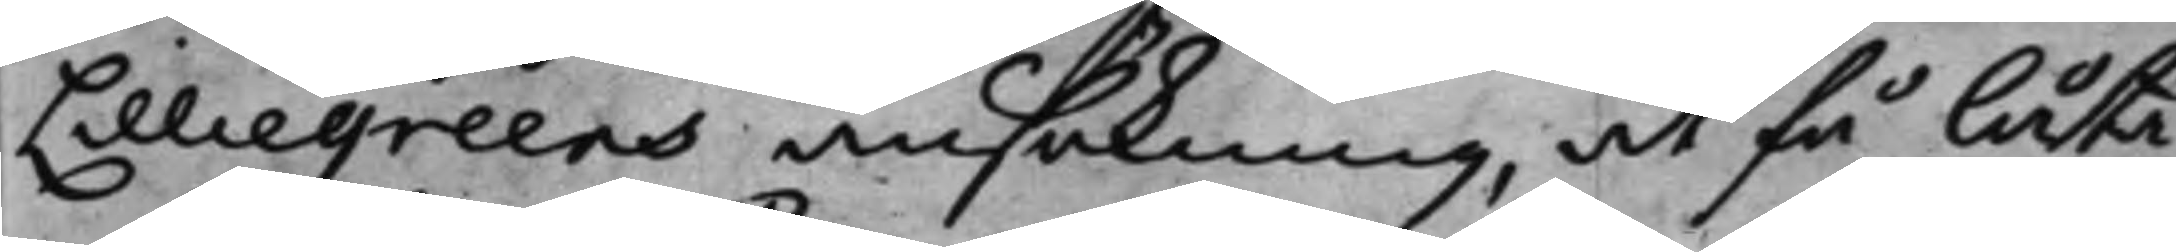Lilliegreens ansökning, at få låta
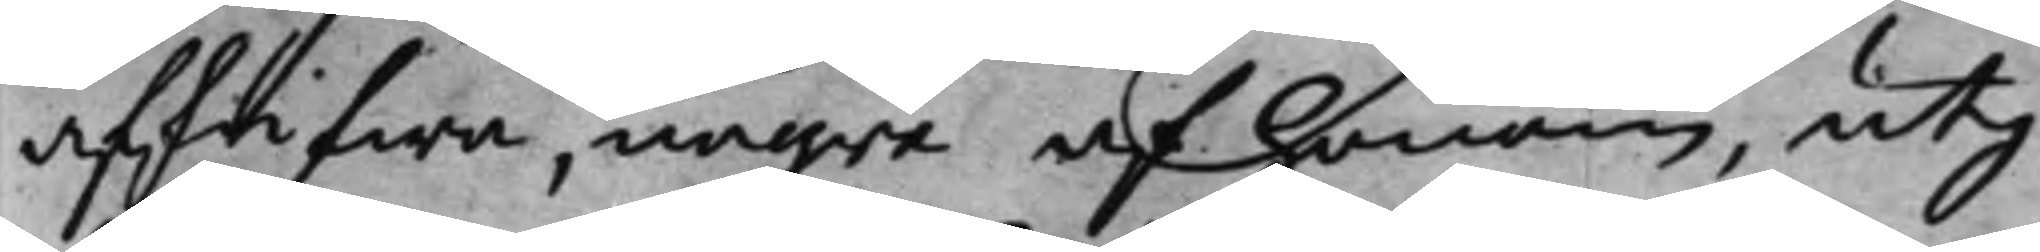afskrifwa, någre af honom, utj
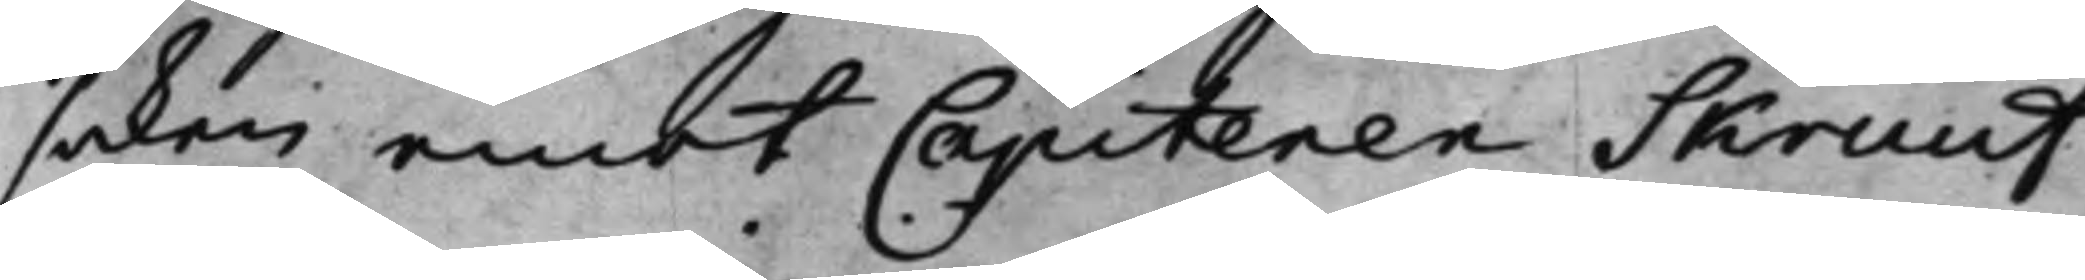saken emot Capitenen Skruuf
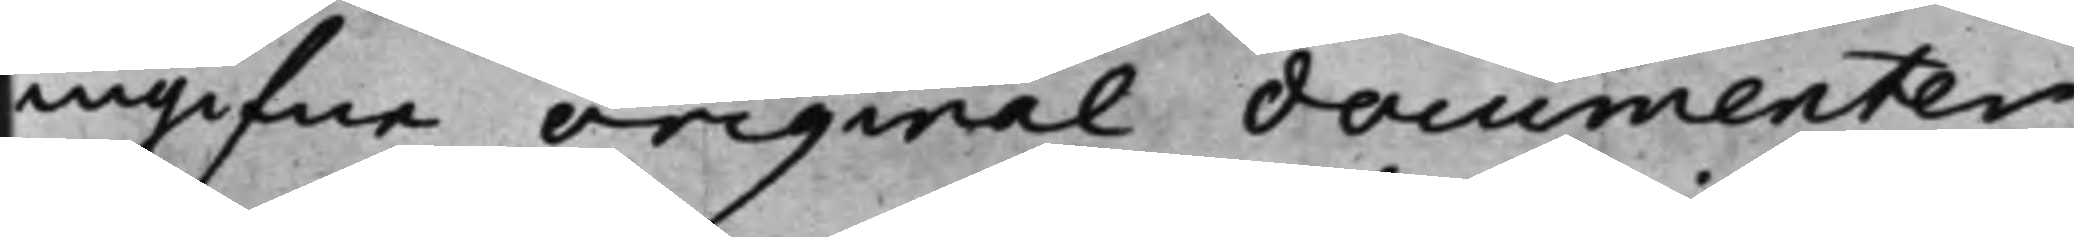ingifne original documenter,
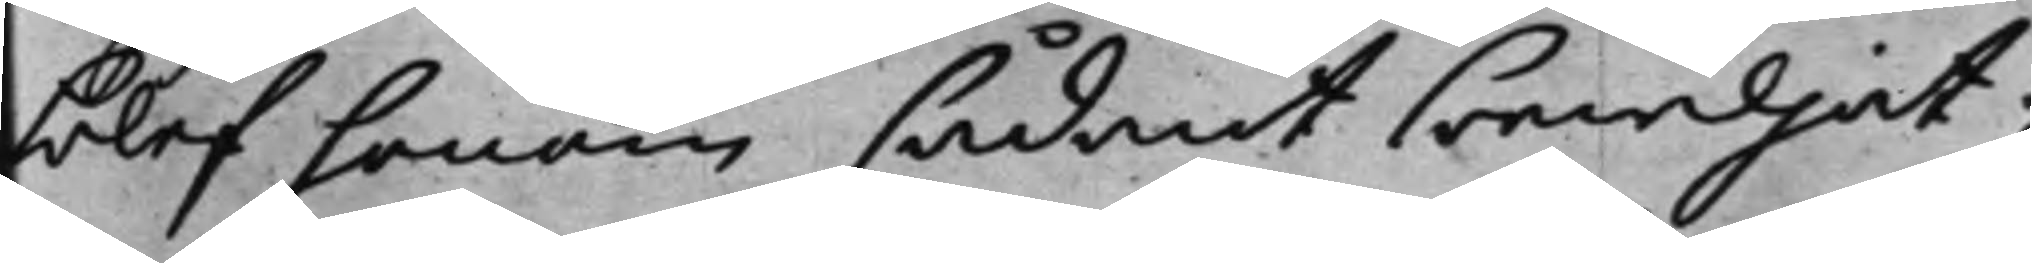blef honom sådant bewiljat;
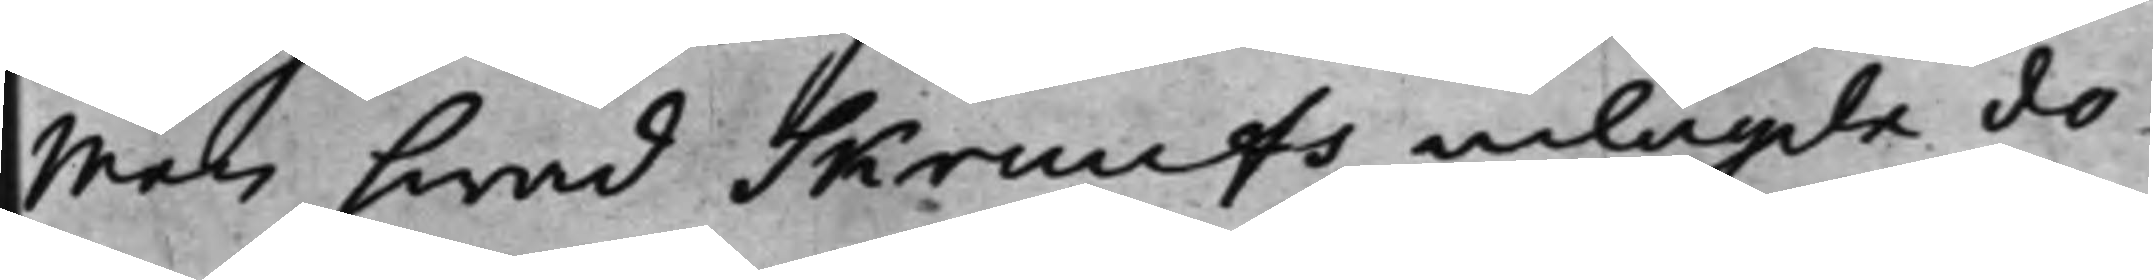Men hwad Skruufs inlagde do¬
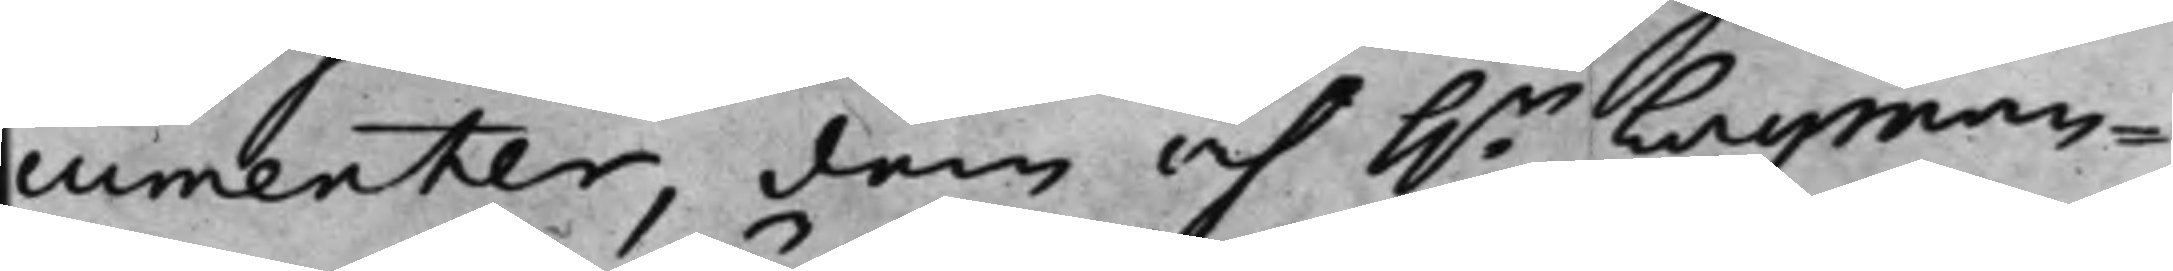cumenter, dem af h.r Lagman¬
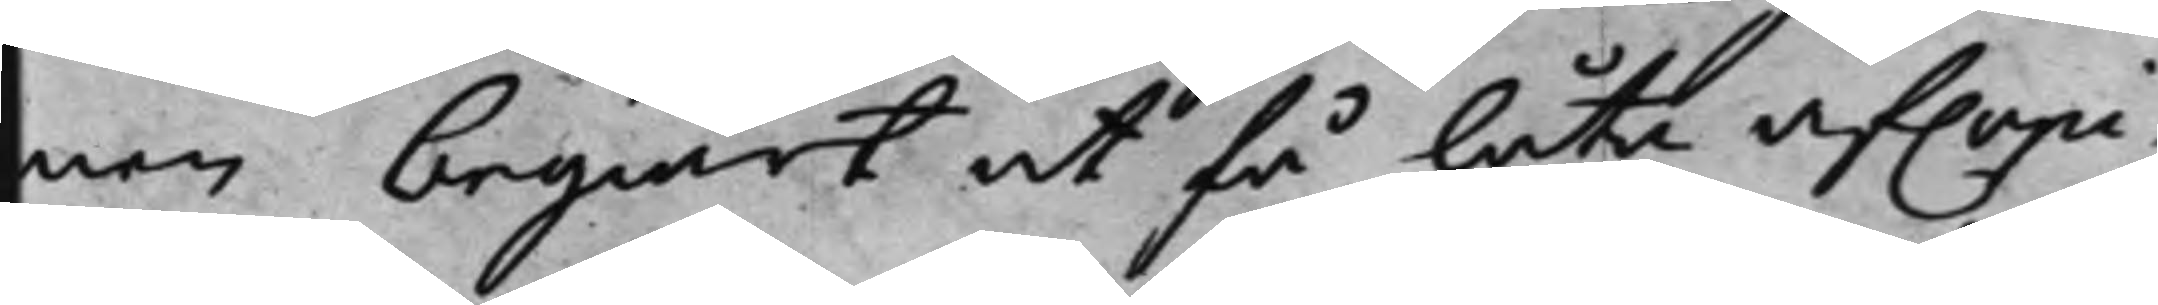nen begiärt at få låta afcopi¬
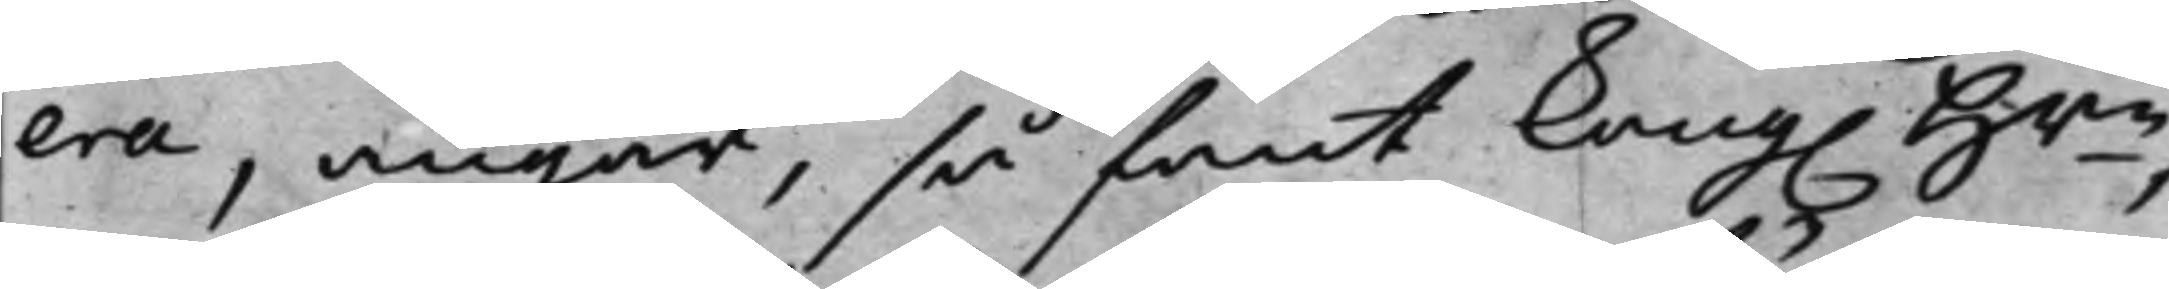era, angår, så fant Kong. Hrn,
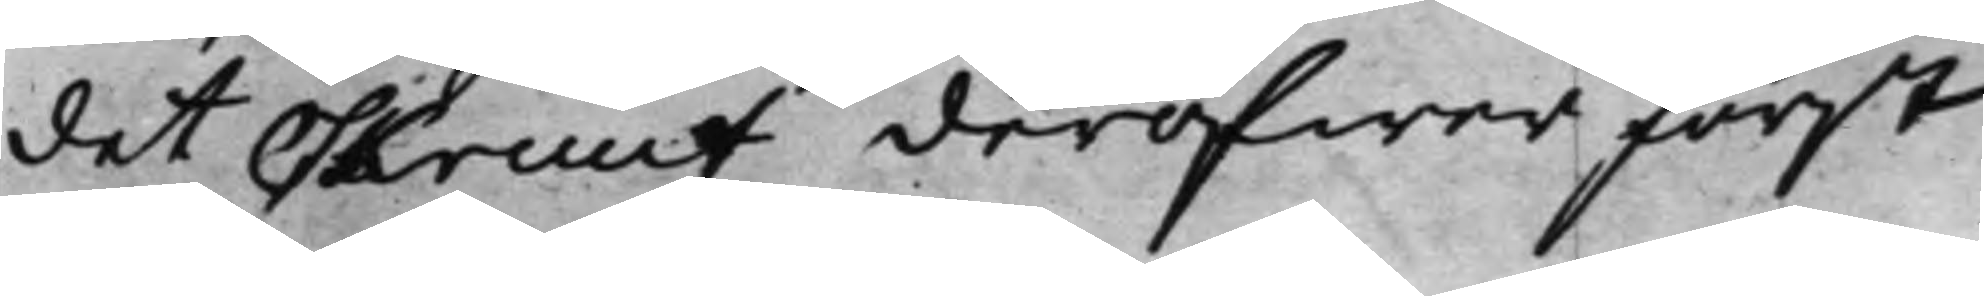det Skruuf deröfwer först
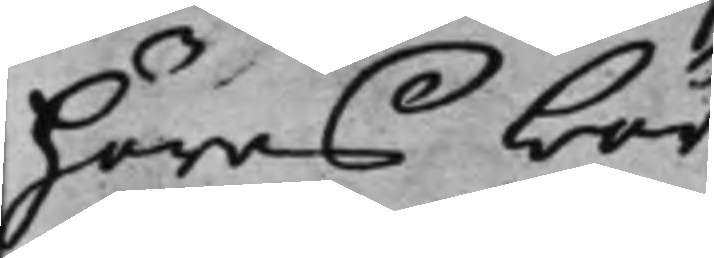höras bör.
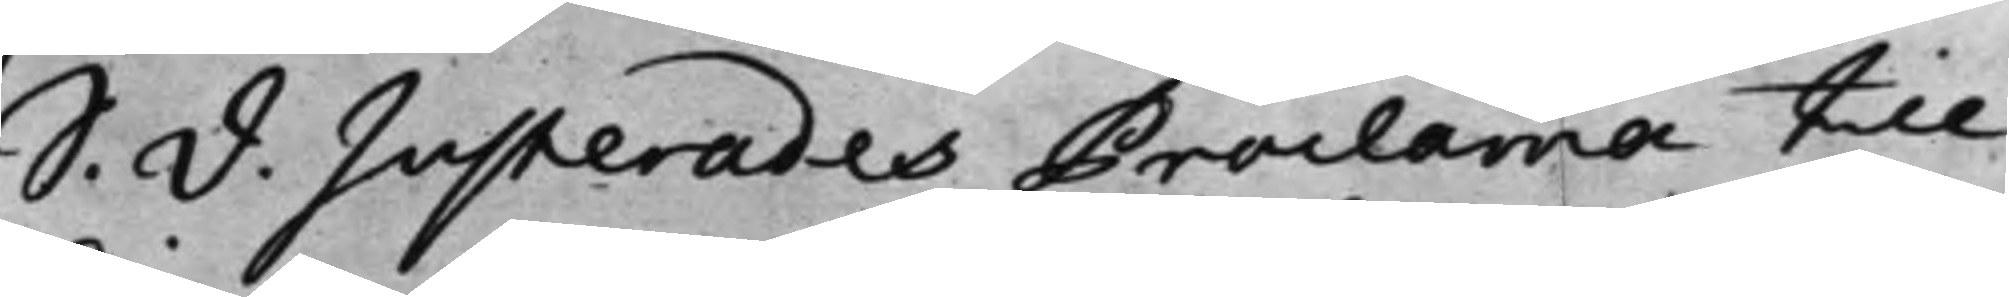S. d. Justerades Proclama till
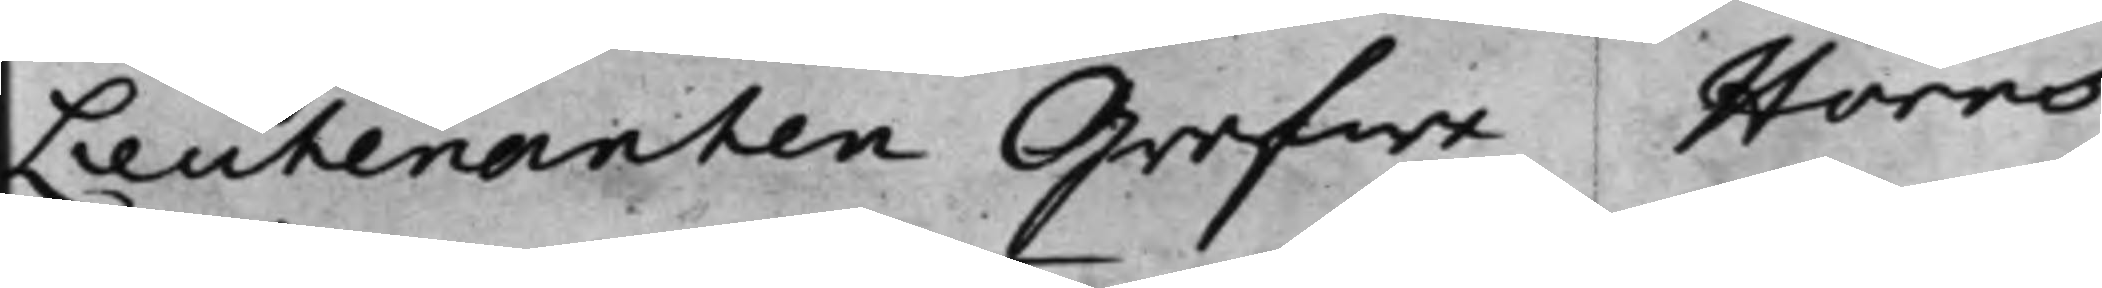Lieutenanten Grefwe Horns
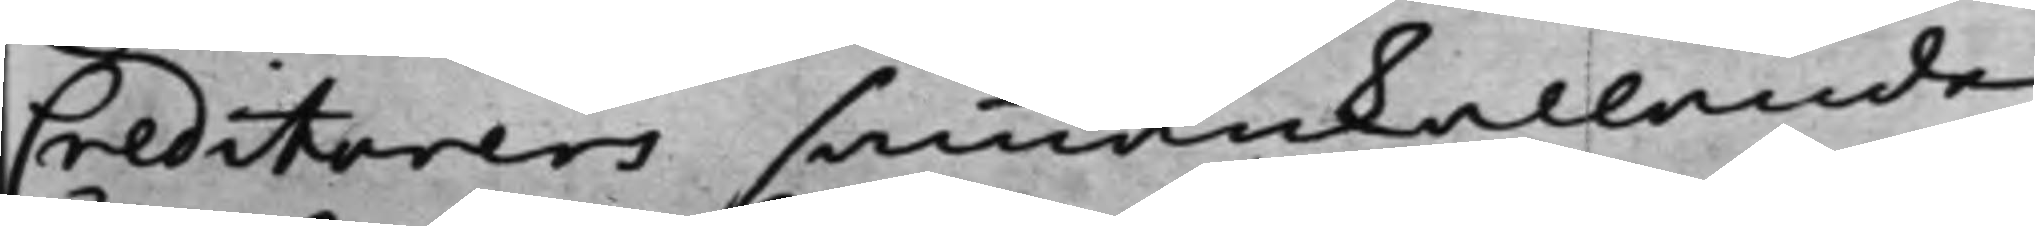Creditorers sammankallande
